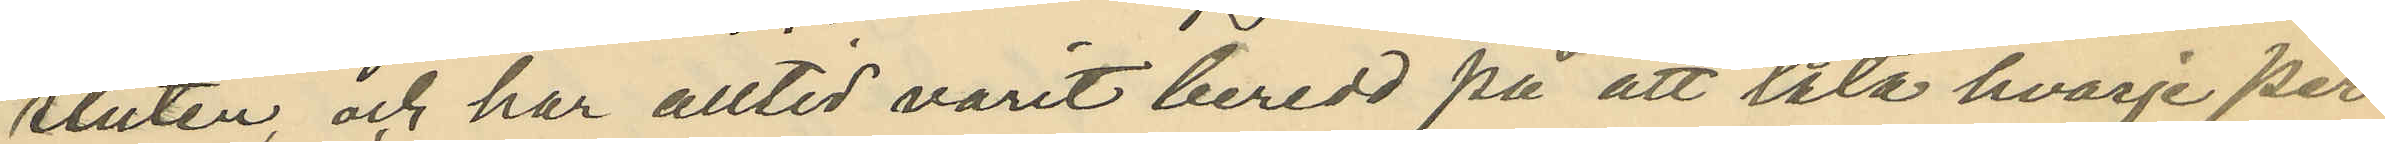sluten, och har alltid varit beredd på att låta hvarje per¬
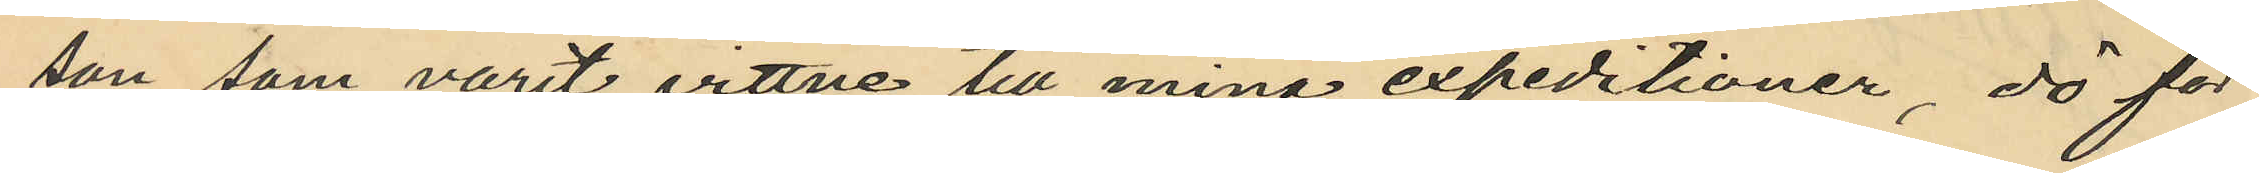son, som varit vittne till mina expeditioner, dö för
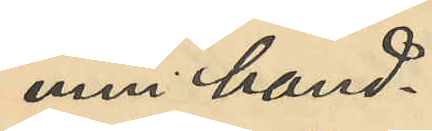min hand.
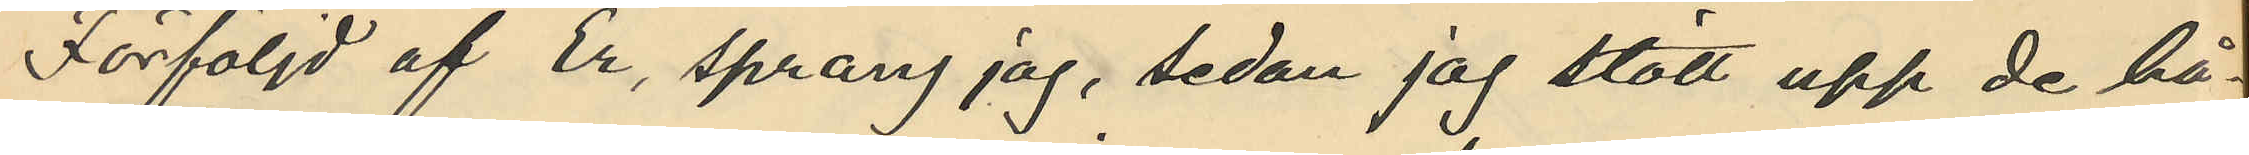Förföljd af Er, sprang jag, sedan jag stött upp de bå¬
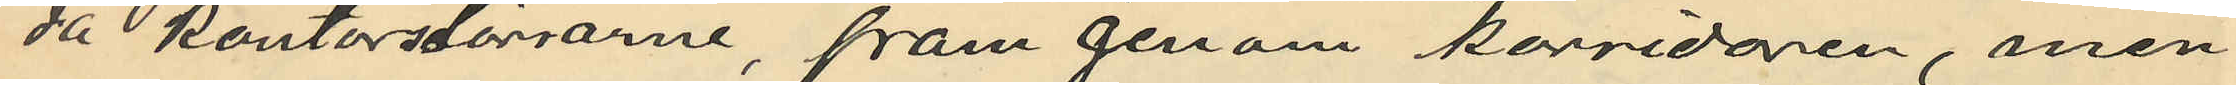da kontorsdörrarne, fram genom korridoren, men
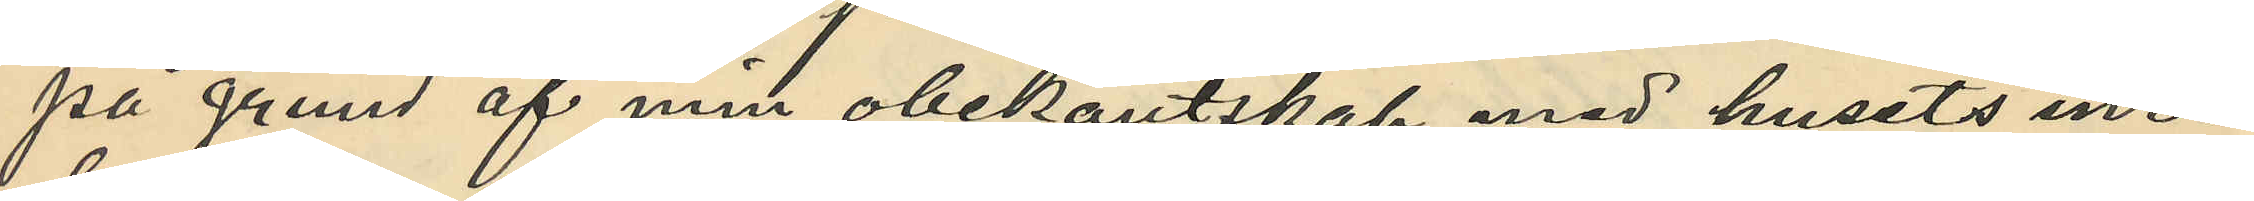på grund af min obekantskap med husets inre
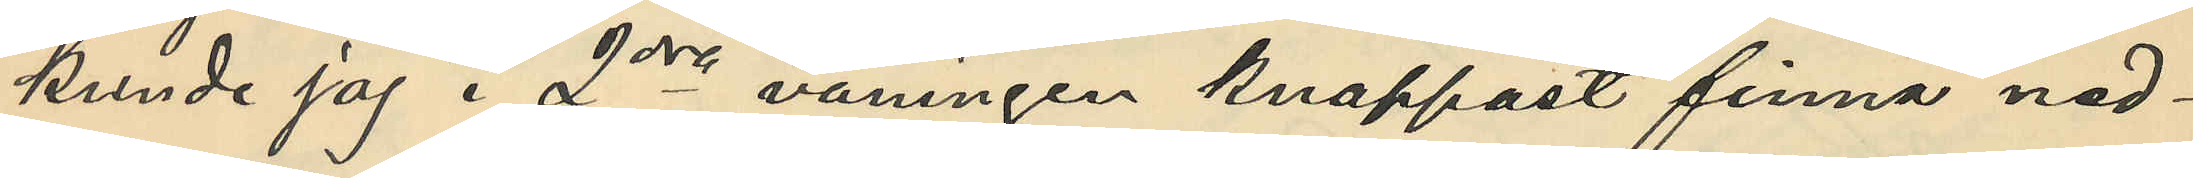kunde jag i 2dra våningen knappast finna ned¬
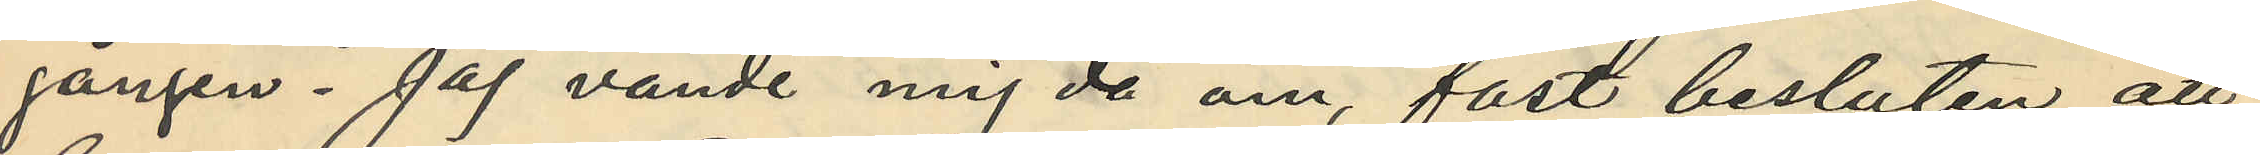gången. Jag vände mig då om, fast besluten att
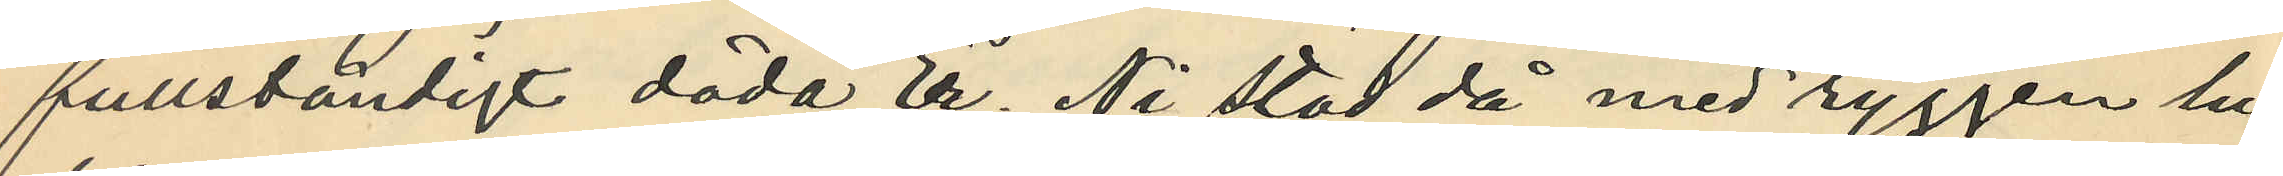fullständigt döda Er. Ni stod då med ryggen lu¬
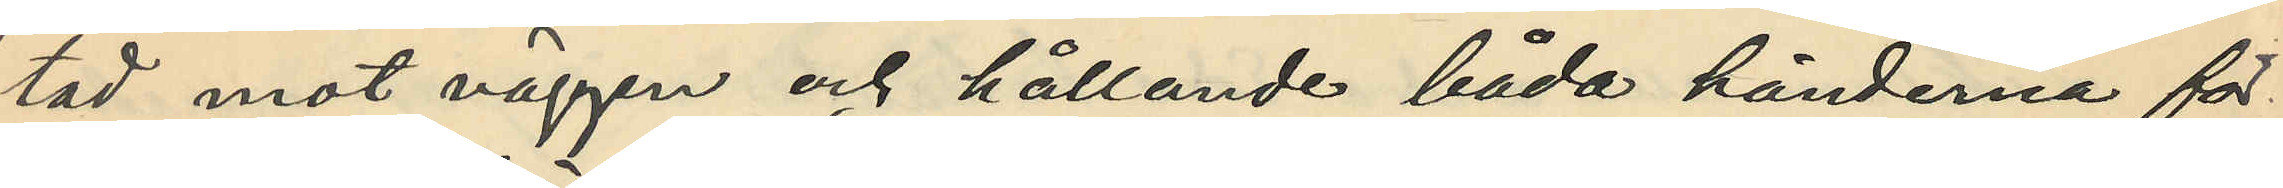tad mot väggen och hållande båda händerna för
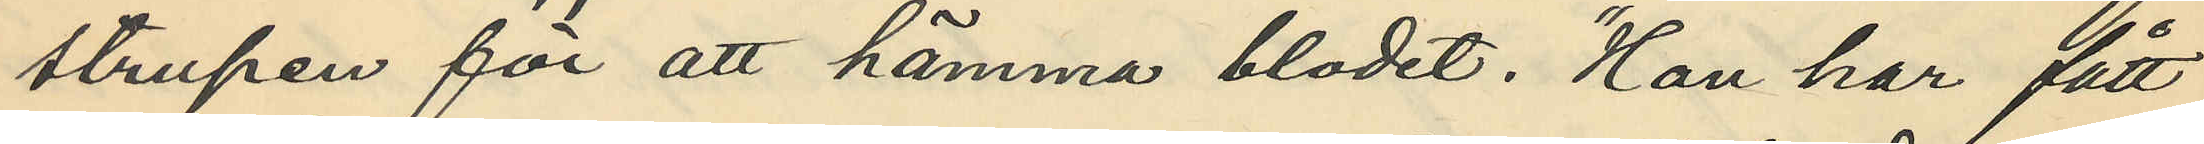strupen för att hämma blodet. "Han har fått
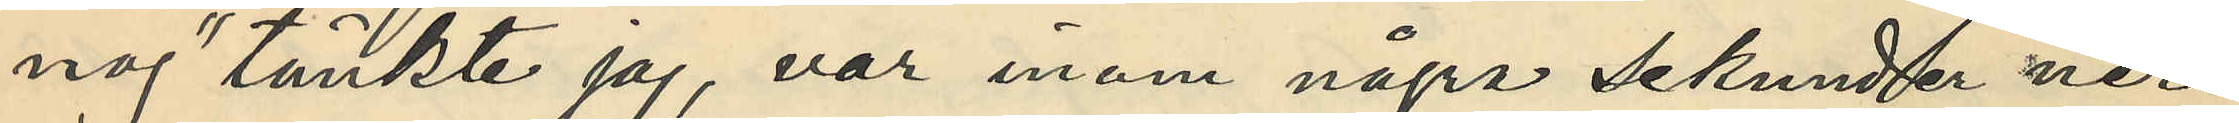nog" tänkte jag, var inom några sekunder nere
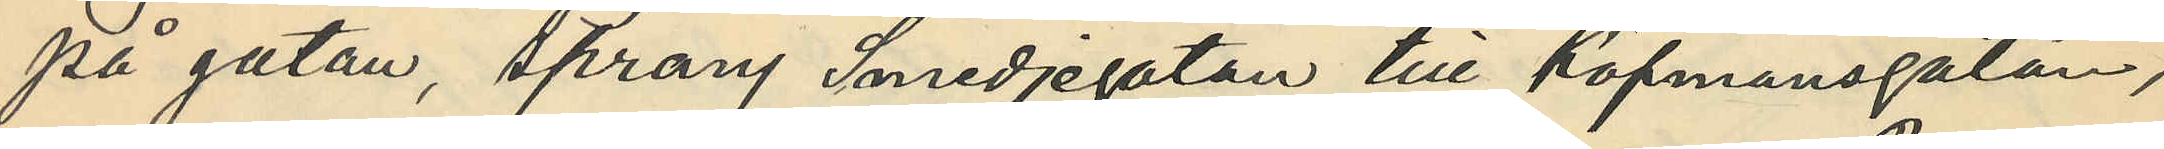på gatan, sprang Smedjegatan till Köpmansgatan,
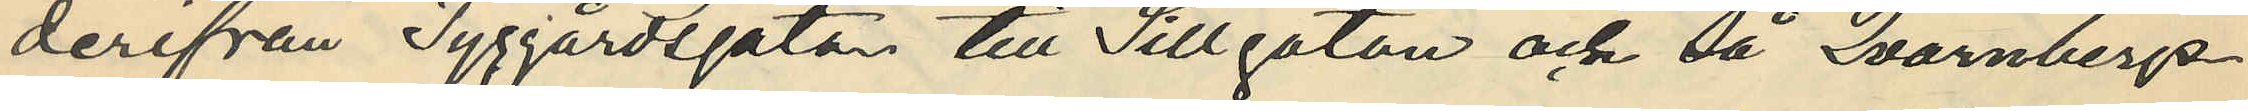derifrån Tyggårdsgatan till Sillgatan och så Qvarnbergs¬
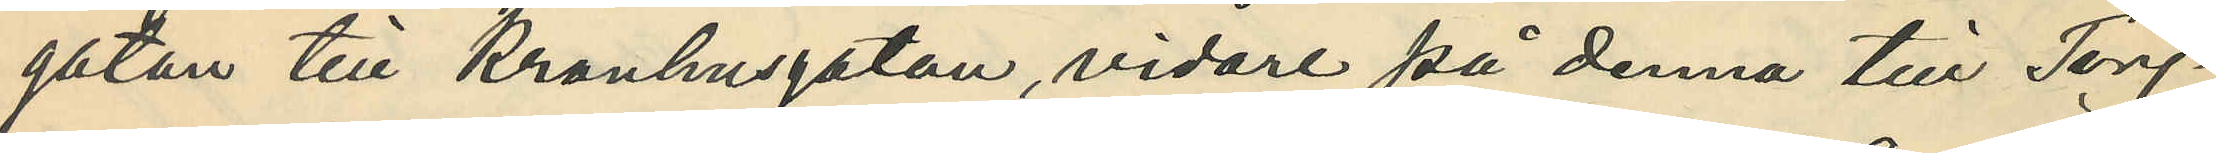gatan till Kronhusgatan, vidare på denna till Torg¬
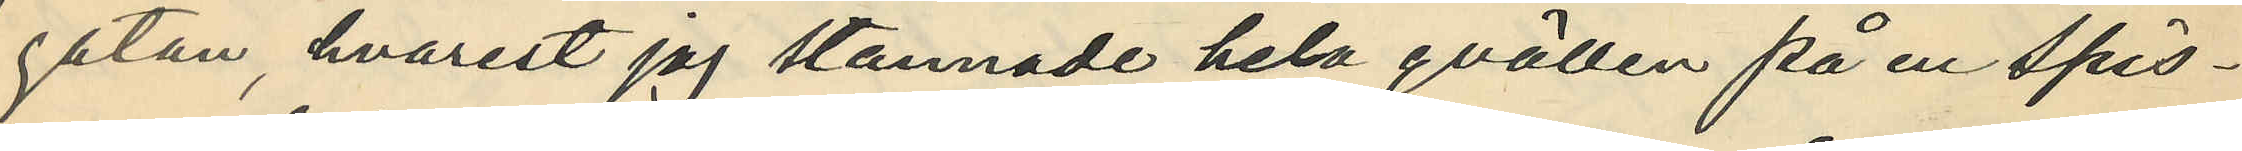gatan, hvarest jag stannade hela qvällen på en spis¬
